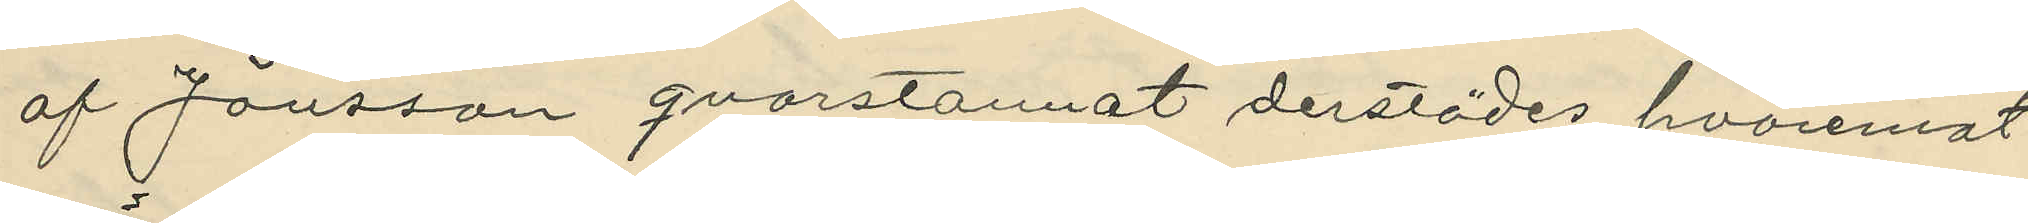af Jönsson qvarstannat derstädes, hvaremot
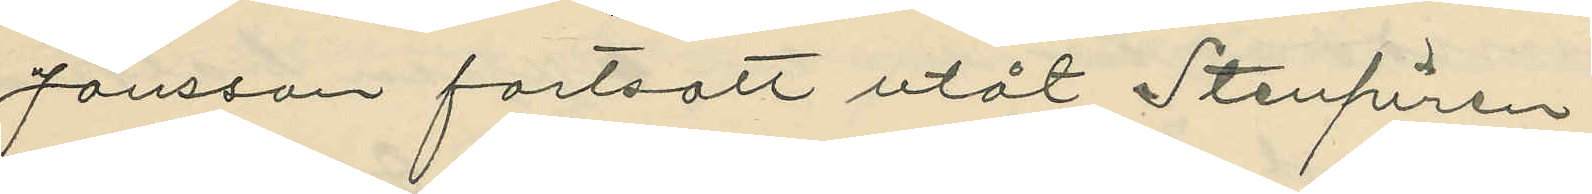Jönsson fortsatt utåt Stenpiren;
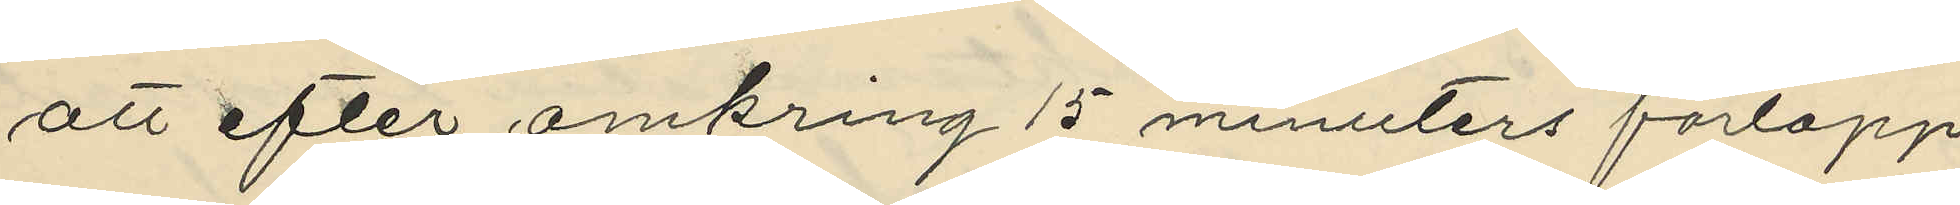att efter omkring 15 minuters förlopp
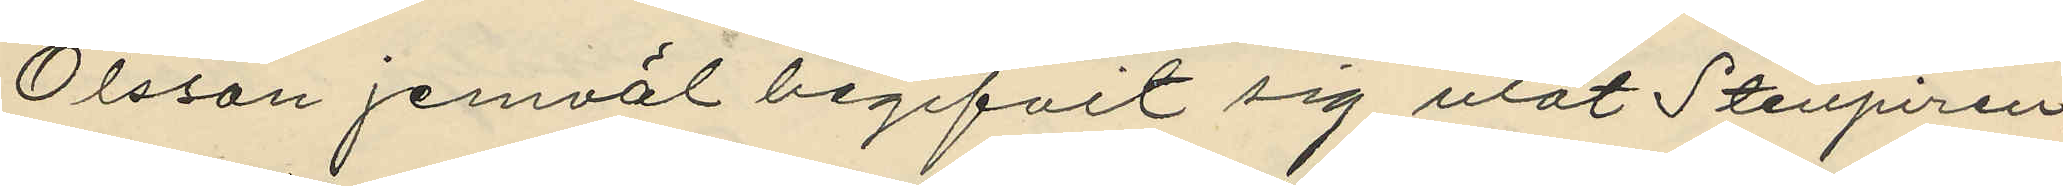Olsson jemväl begifvit sig utåt Stenpiren;
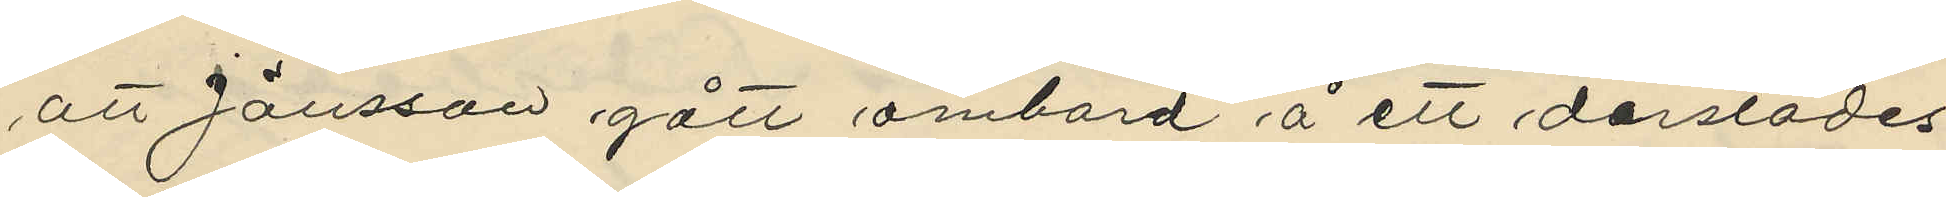att Jönsson gått ombord å ett derstädes
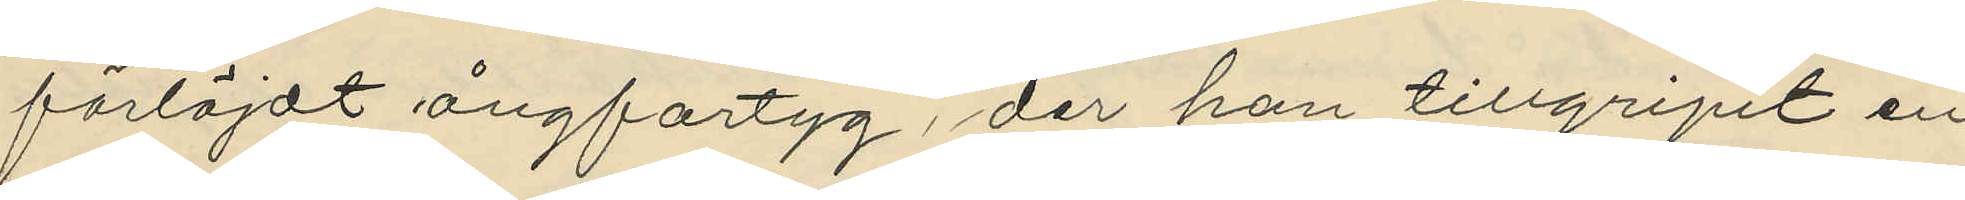förtöjdt ångfartyg, der han tillgripit en
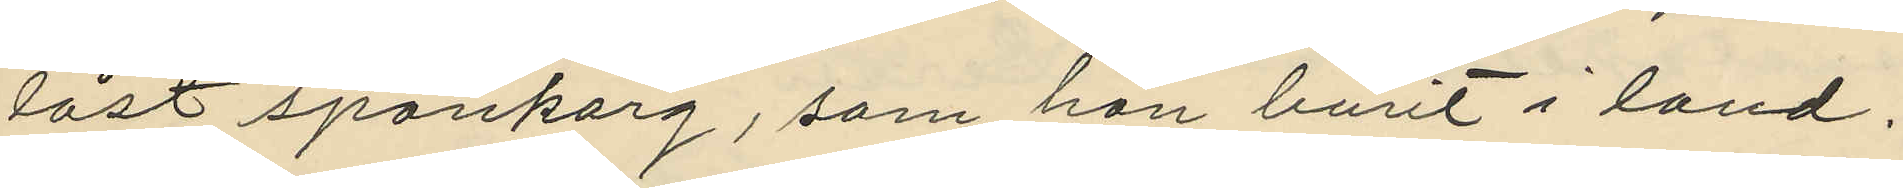låst spånkorg, som han burit i land;
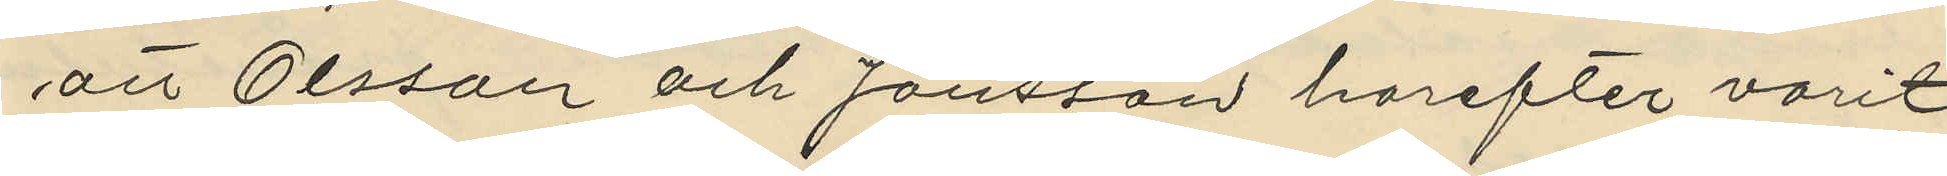att Olsson och Jönsson harefter varit
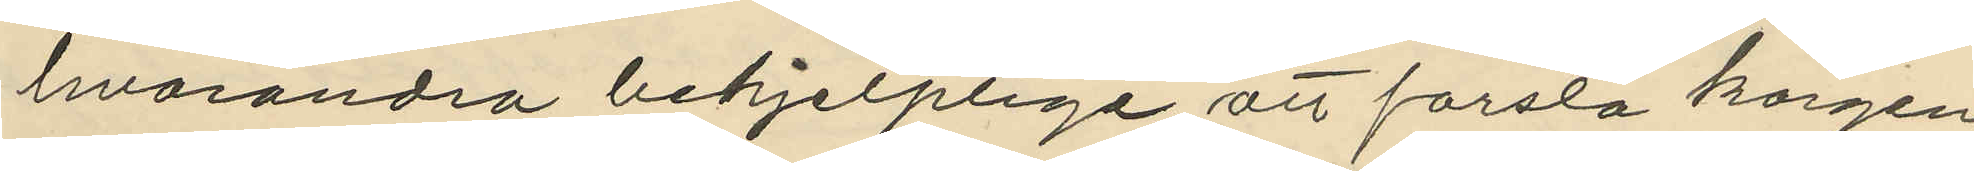hvarandra behjelplige att forsla korgen
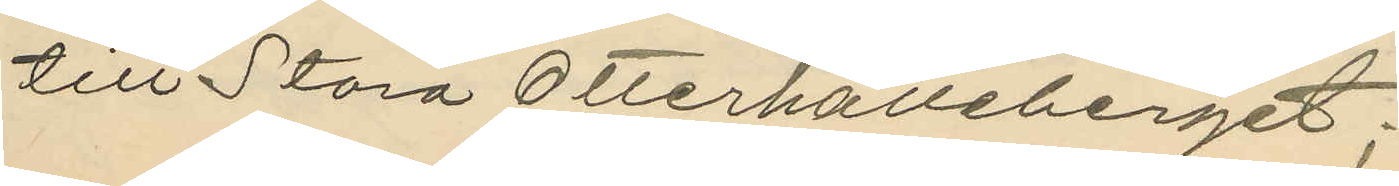till Stora Otterhälleberget;
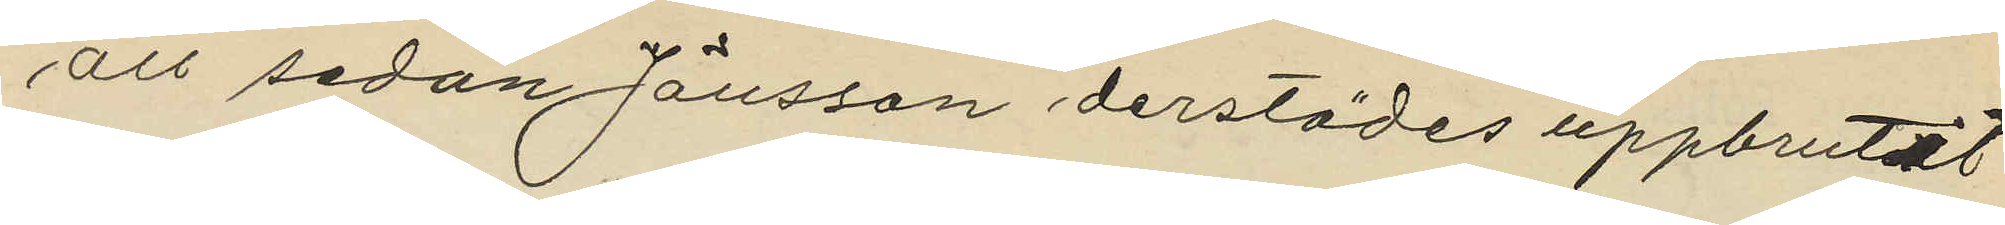att sedan Jönsson derstädes uppbrutit
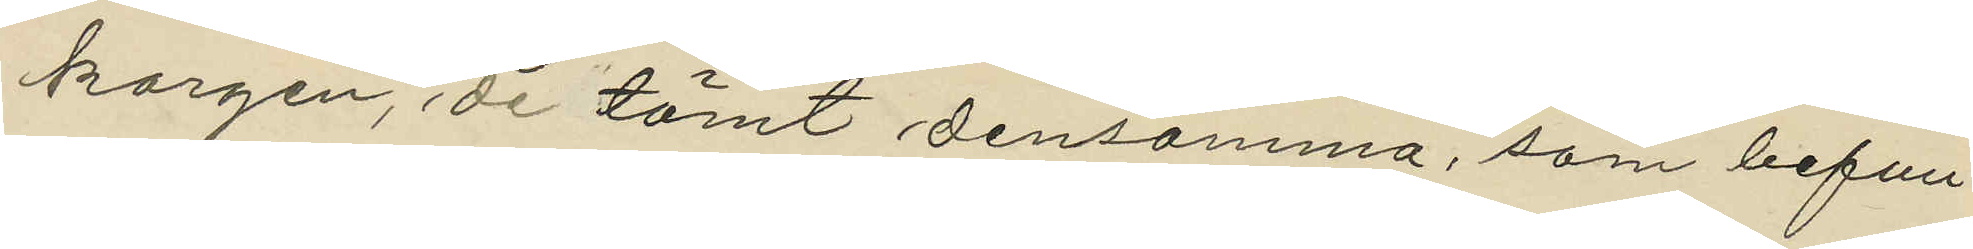korgen, de tömt densamma, som befun¬
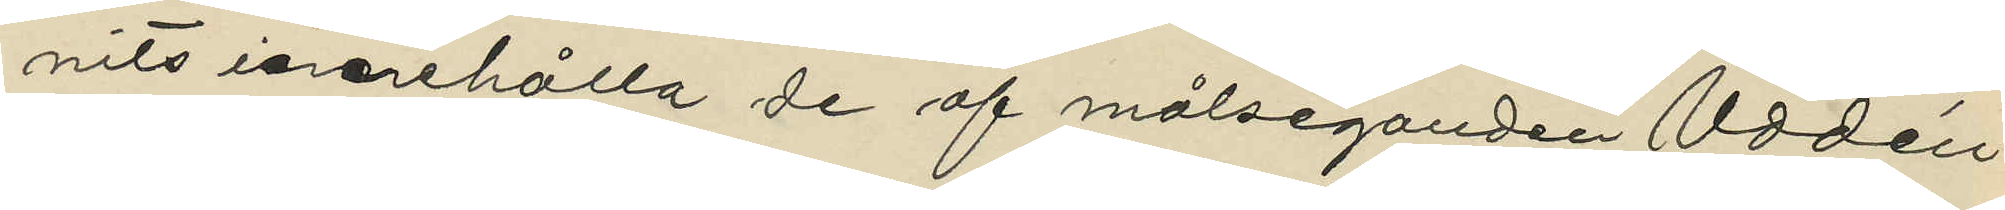nits innehålla de af målseganden Uddén
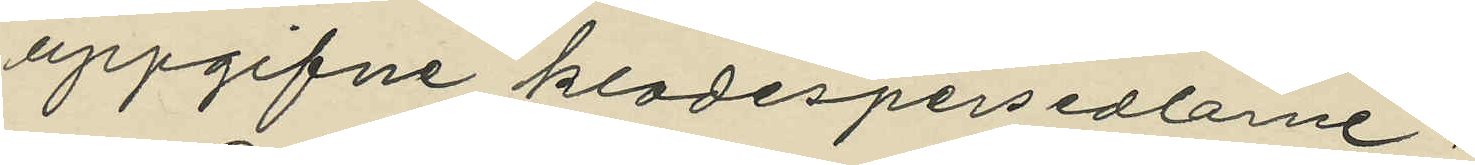uppgifne kladespersedlarne;
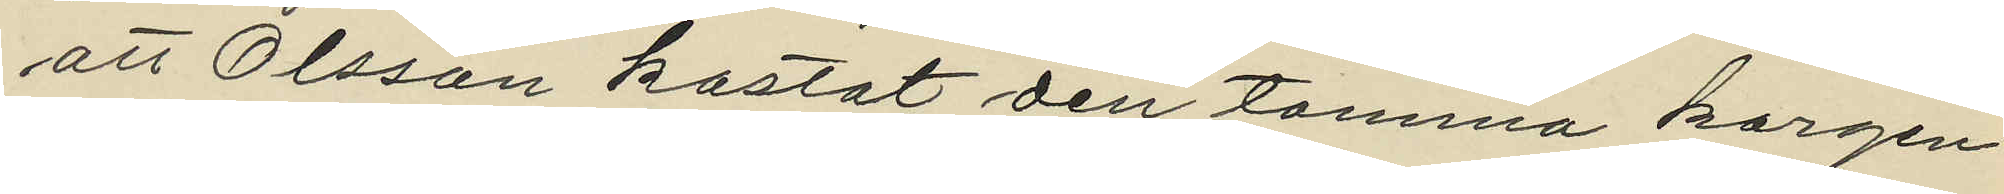att Olsson kastat den tomma korgen
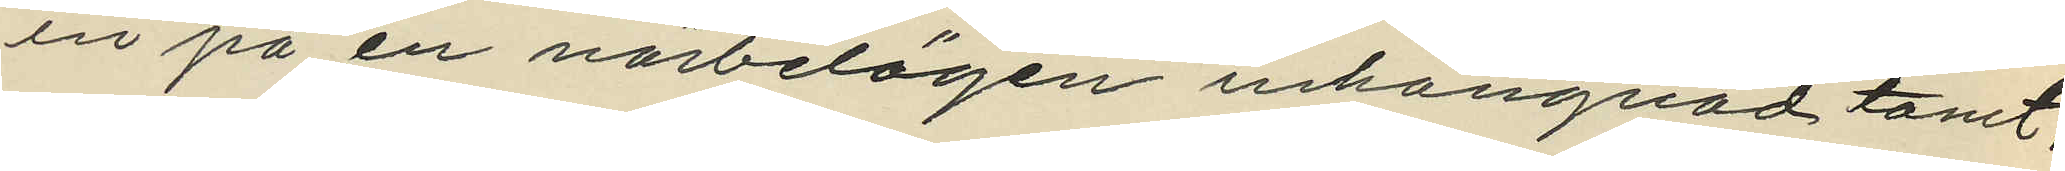in på en närbelägen inhängnad tomt,
